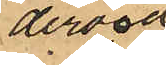dervid
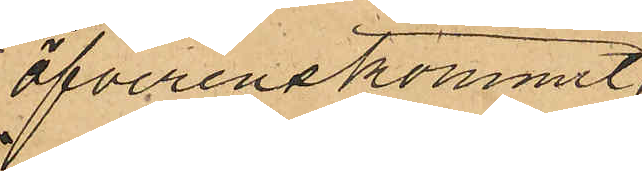öfverenskommit
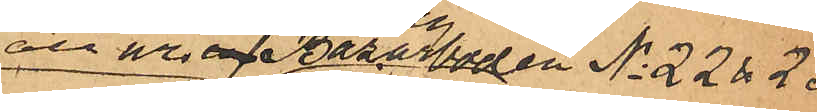att ur Bazarboden No 22 & 23
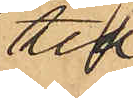till¬
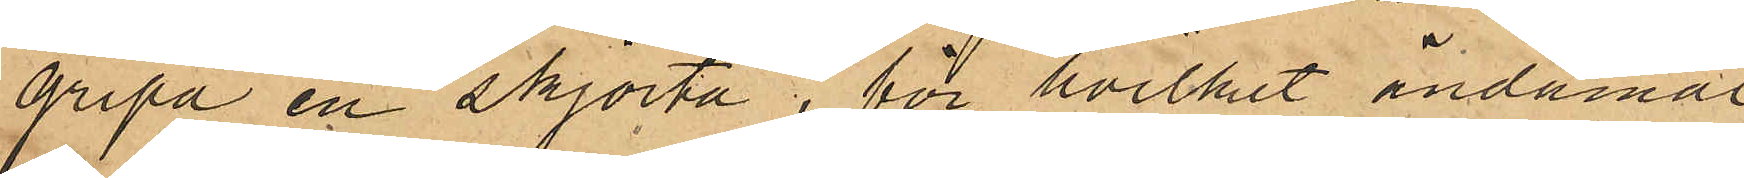gripa en skjorta, för hvilket ändamål
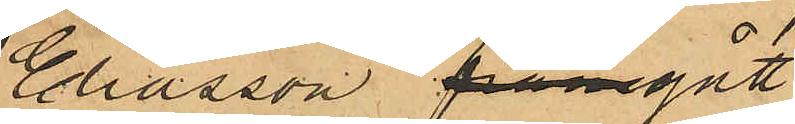Elisasson framgått
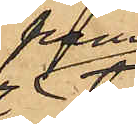fram
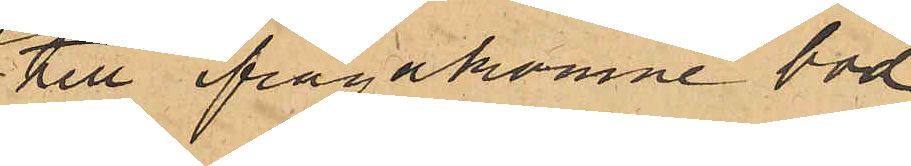till frågakomne bod
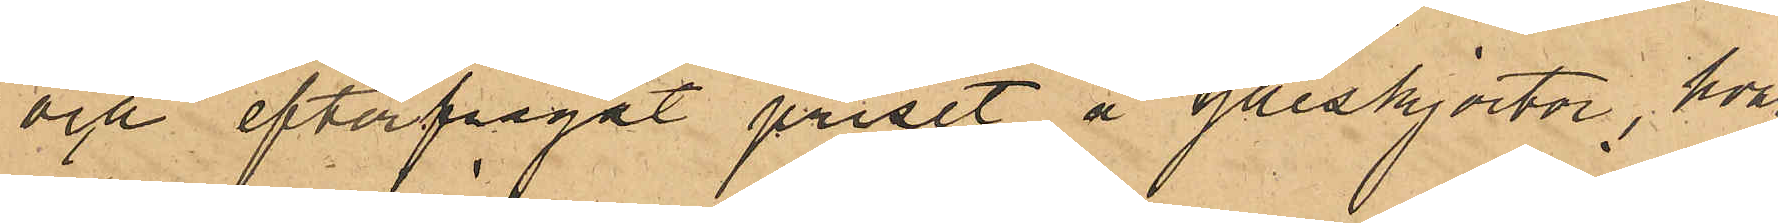och efterfrågat priset å ylleskjortor, hvar¬
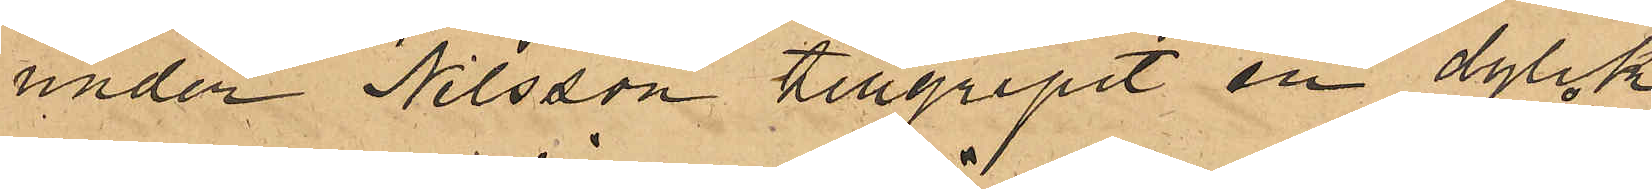under Nilsson tillgripit en dylik
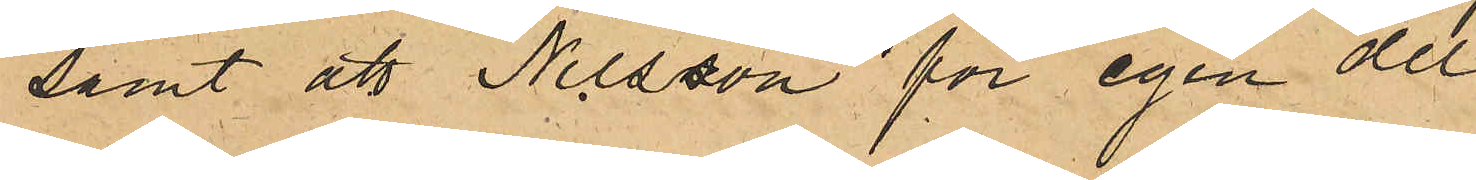samt att Nilsson för egen del
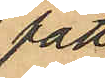fått
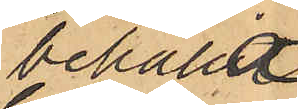behålla
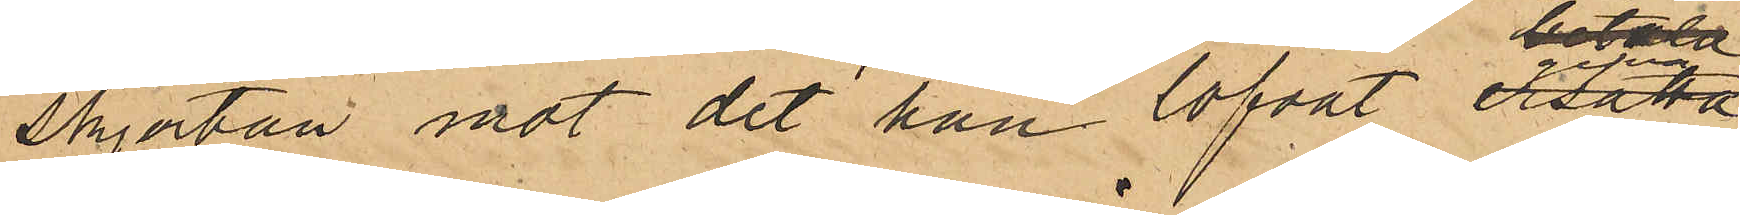skjortan mot det han lofvat gifva
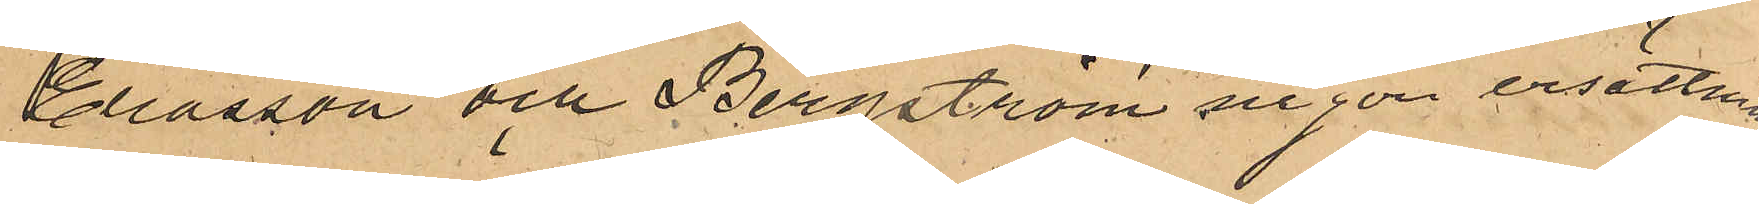Eliasson och Bergström någon ersättning.
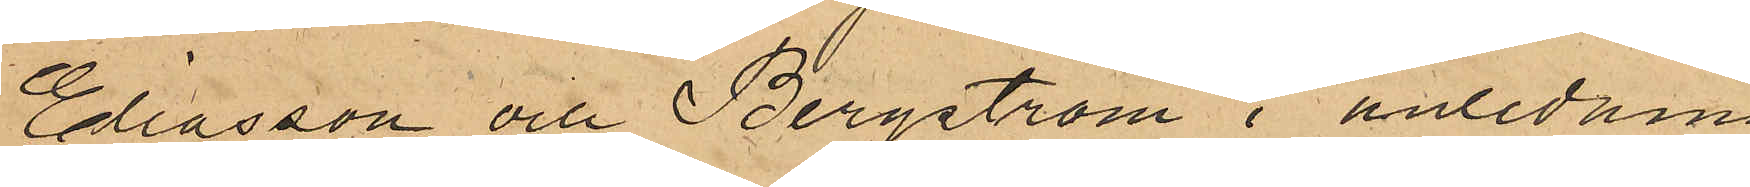Eliasson och Bergström i anledning
